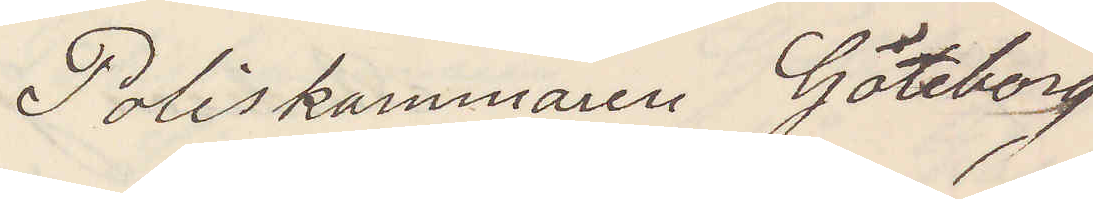Poliskammaren Göteborg
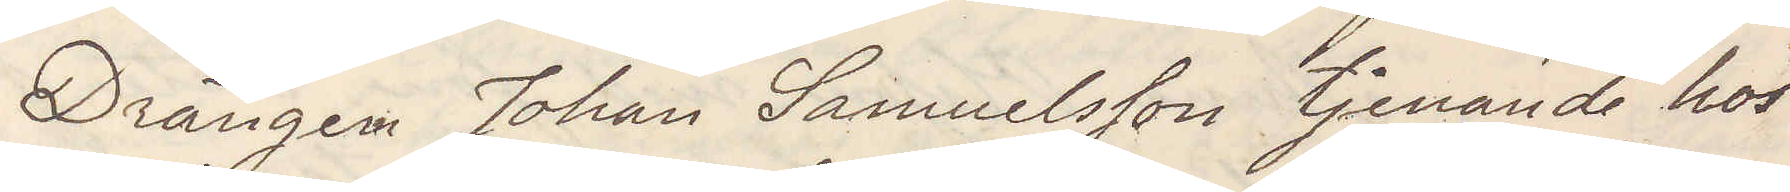Drängen Johan Samuelsson tjenade hos
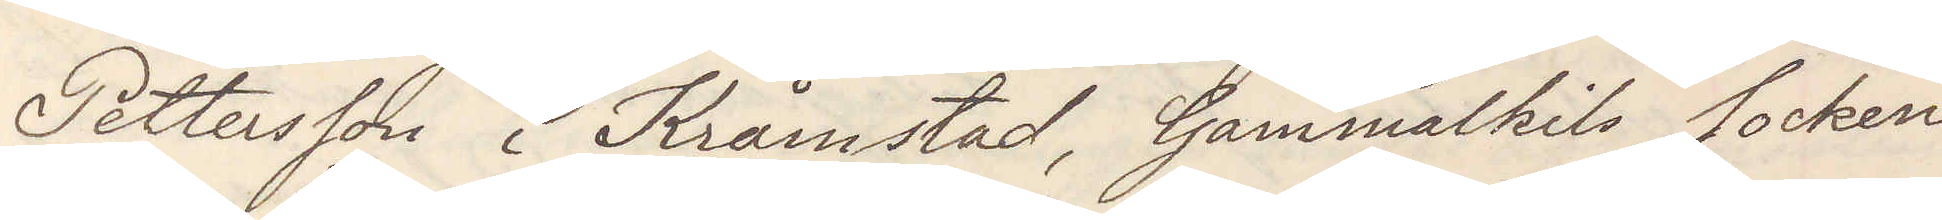Pettersson i Kråmstad, Gammelkils socken
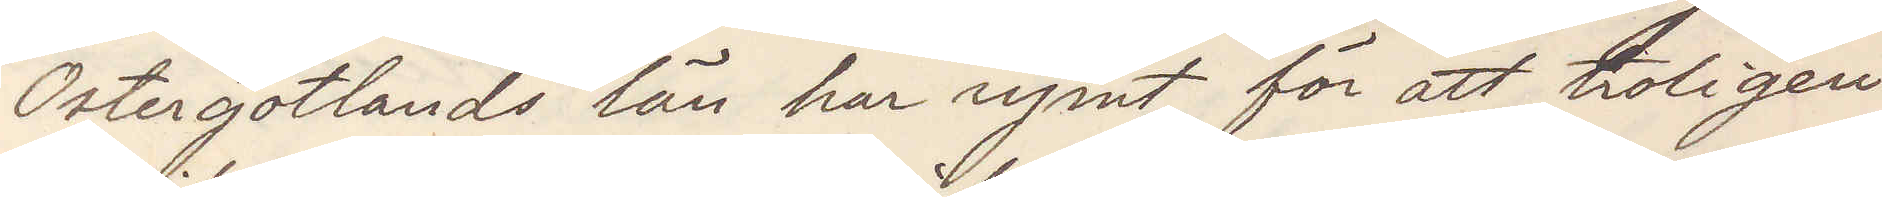Östergötlands län har rymt för att troligen
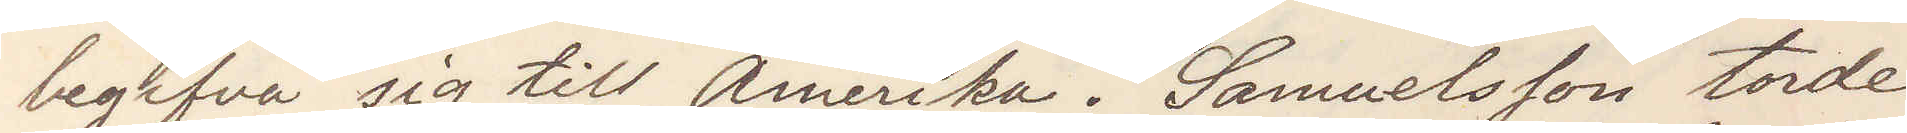begifva sig till Amerika. Samuelsson torde
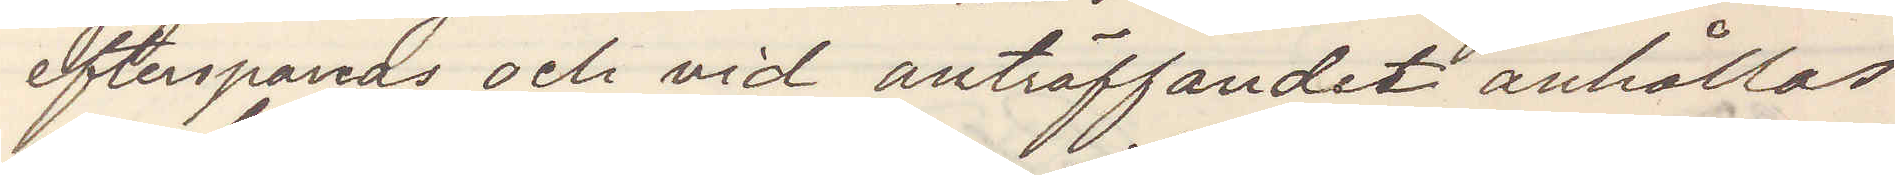efterspanas och vid anträffandet anhållas
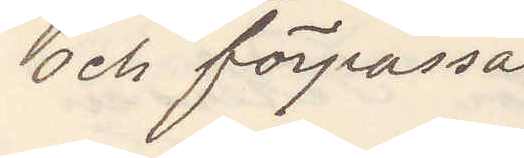och förpassas
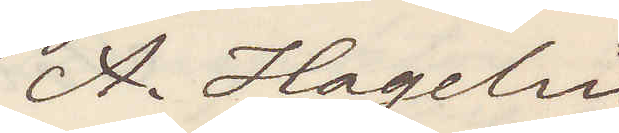A. Hagelin
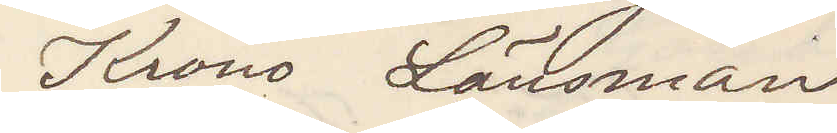Krono Länsman
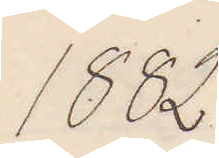1882
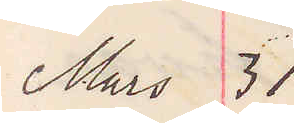Mars 31
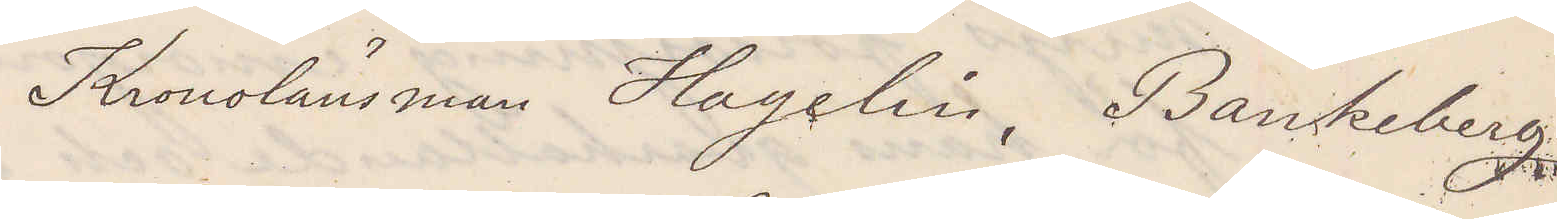Kronolänsman Hagelin, Bankeberg
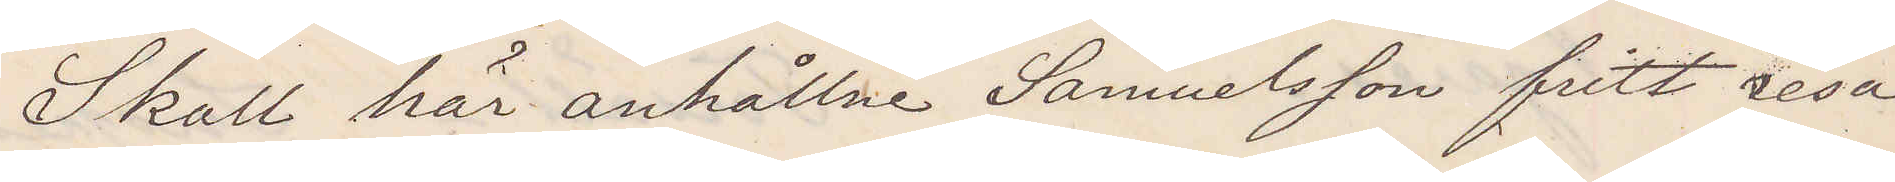Skall här anhållne Samuelsson fritt resa
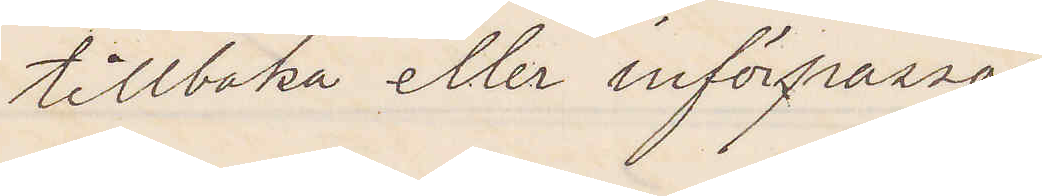tillbaka eller införpassas.
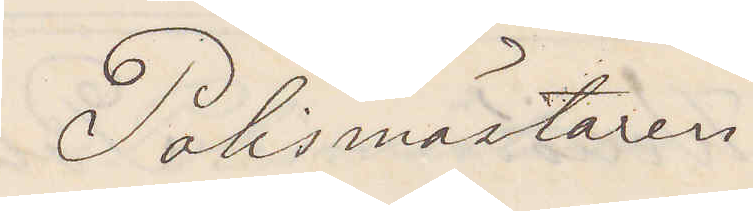Polismästaren
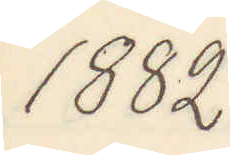1882
